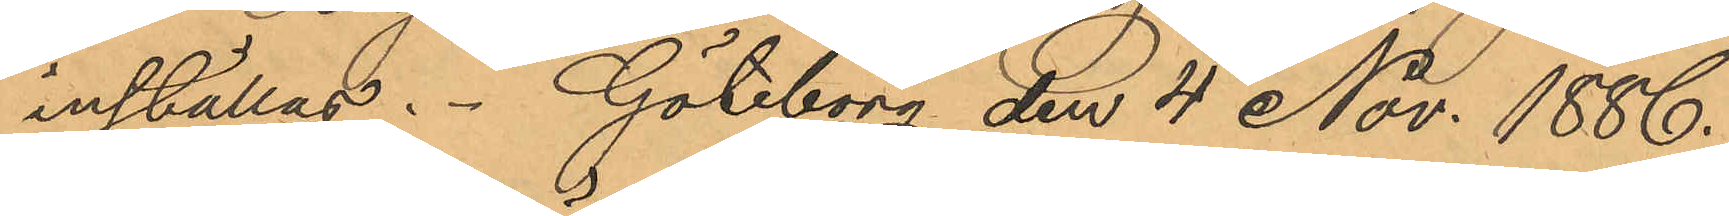inställas. Göteborg den 4 Nov. 1886.
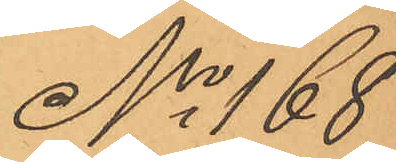No 168
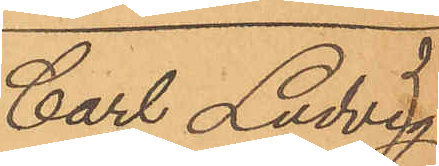Carl Ludvig
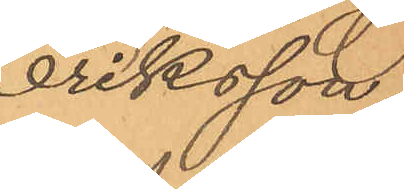Eriksson.
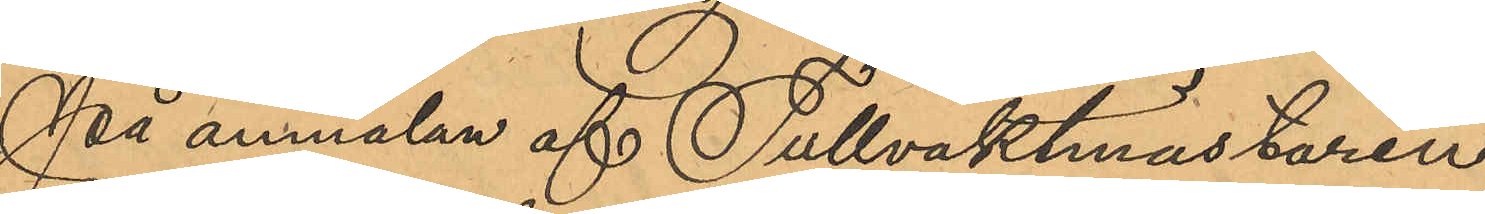På anmälan af Tullvaktmästaren
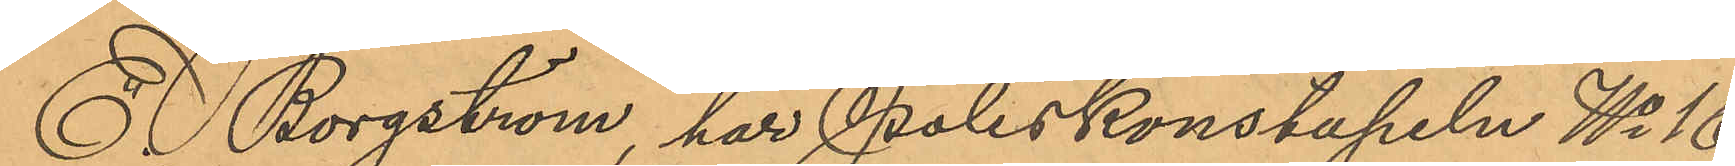E. Borgström, har Poliskonstapeln No 16
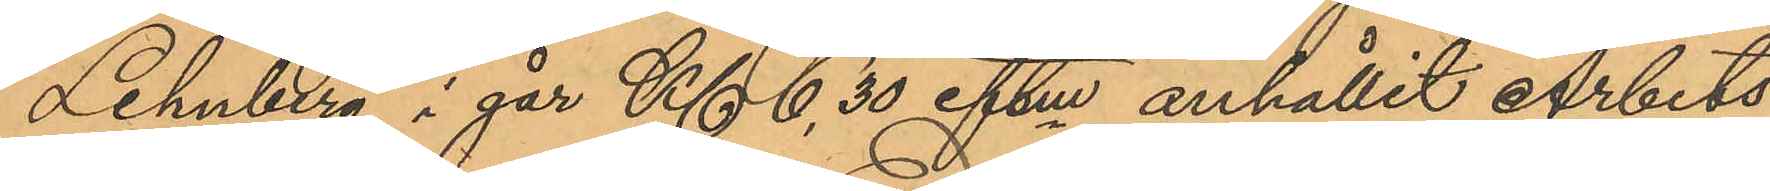Lehnberg i går Kl. 6,30 eftm anhållit Arbets¬
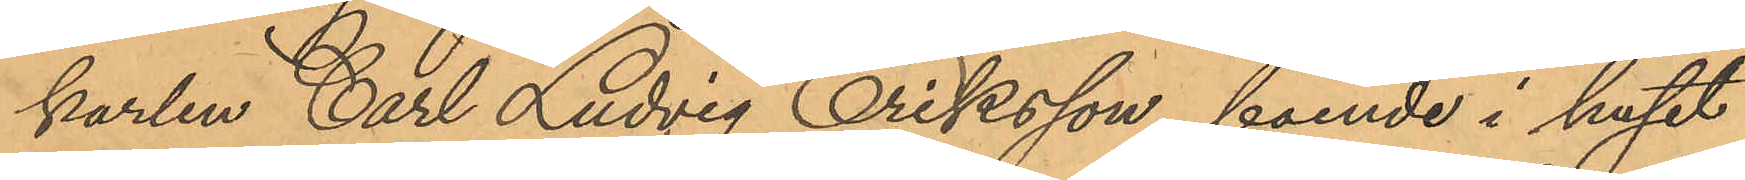karlen Carl Ludvig Eriksson, boende i huset
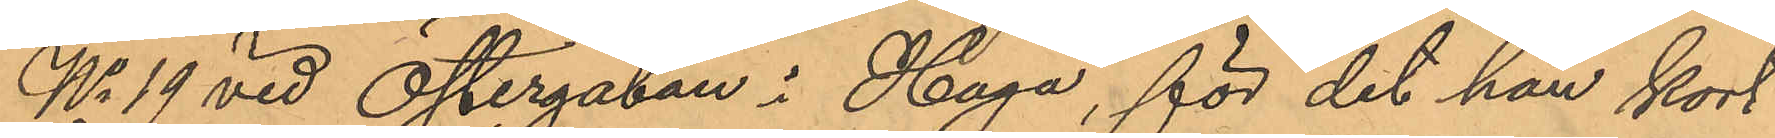No 19 vid Östergatan i Haga, för det han kort
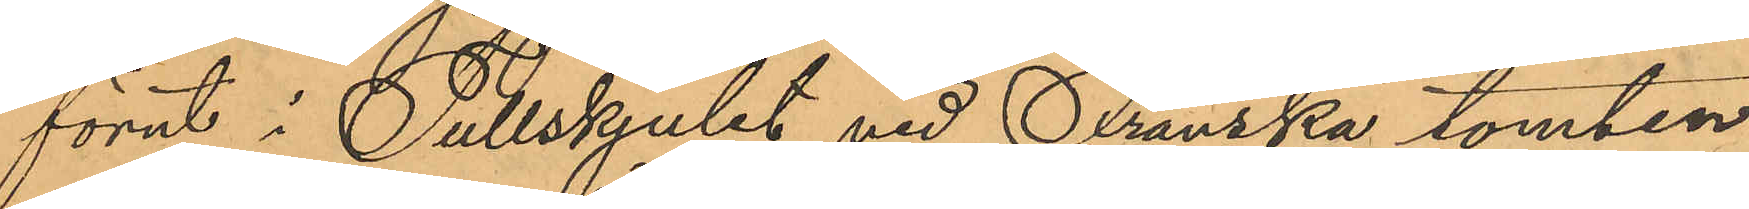förut i Tullskjulet vid Franska tomten
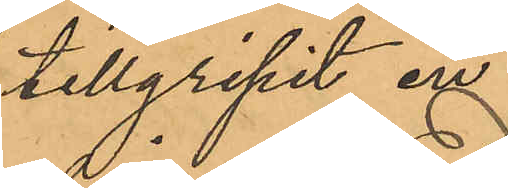tillgripit en
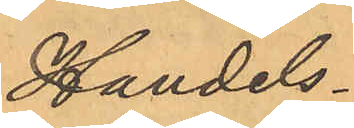Handels¬
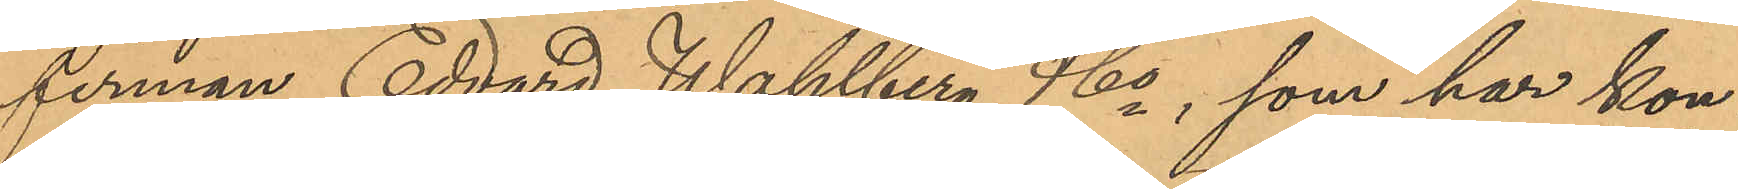firman Edvard Wahlberg & Co, som har kon¬
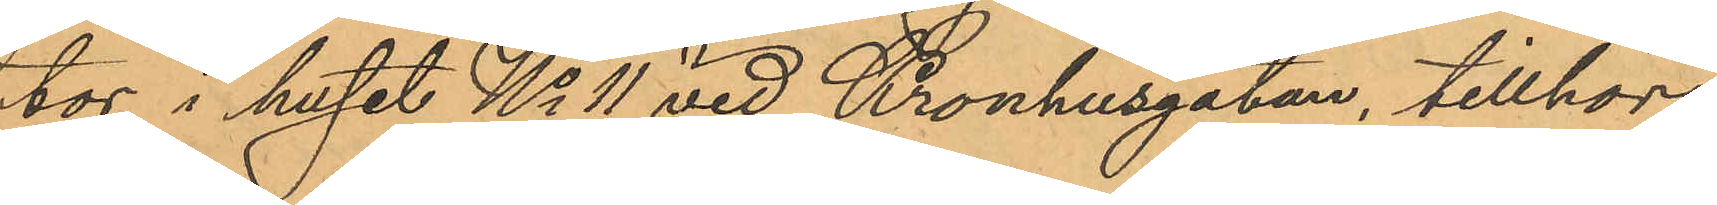tor i huset No 11 vid Kronhusgatan, tillhörig
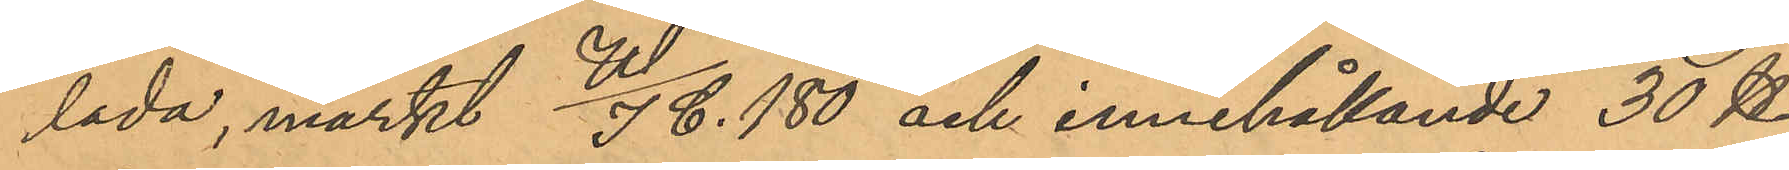lada, märkt W/I C. 180 och innehållande 30 ℔
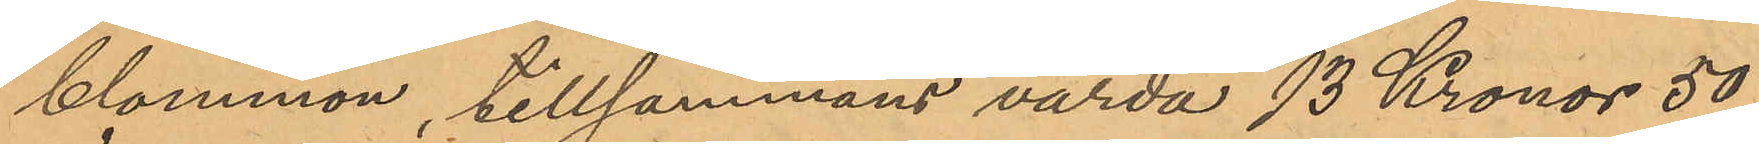blommor, tillsammans värda 13 Kronor 50
